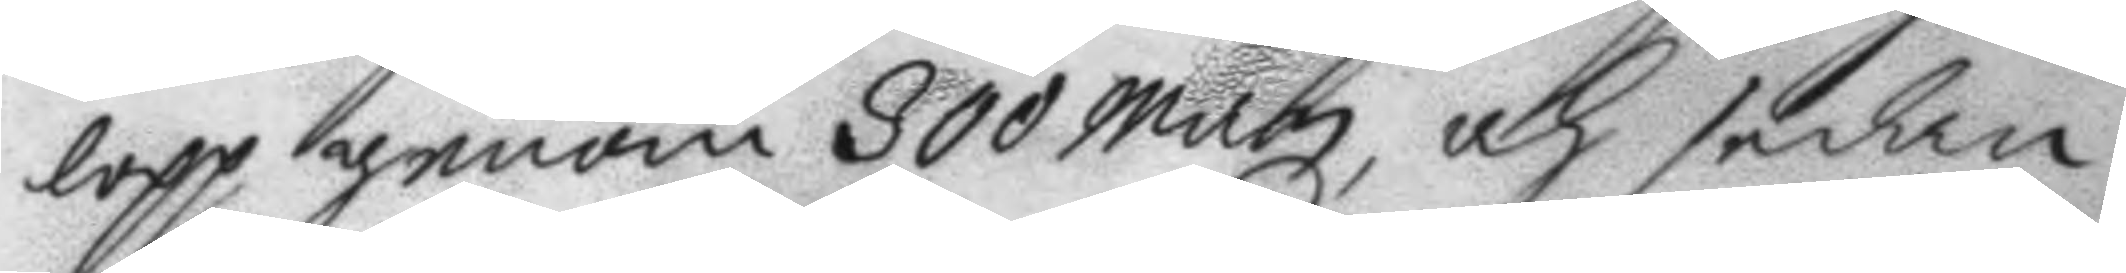lopp genom 300 Man, och sedan
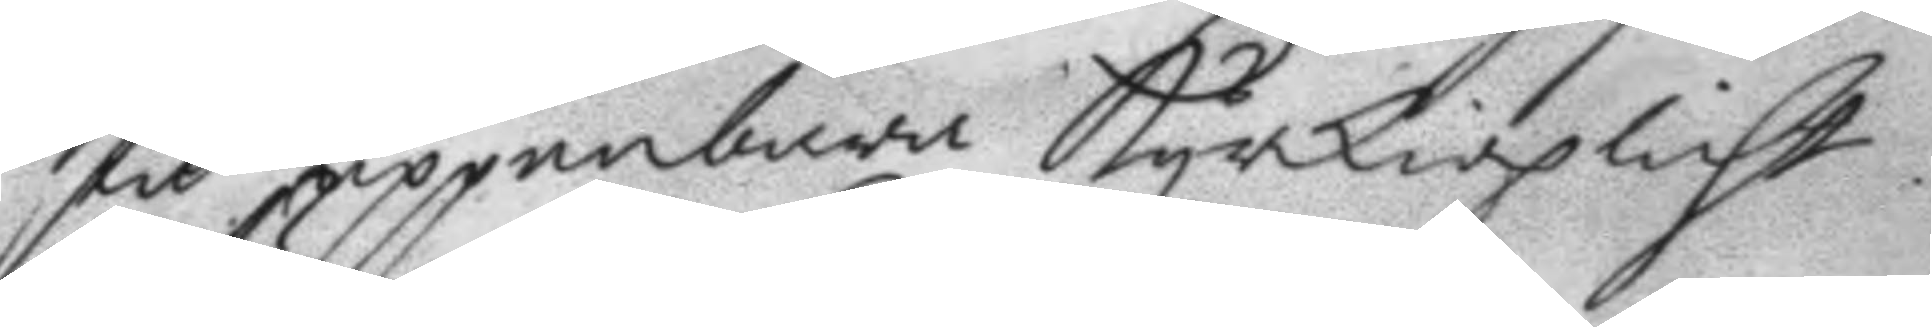stå uppenbar kyrkioplicht.
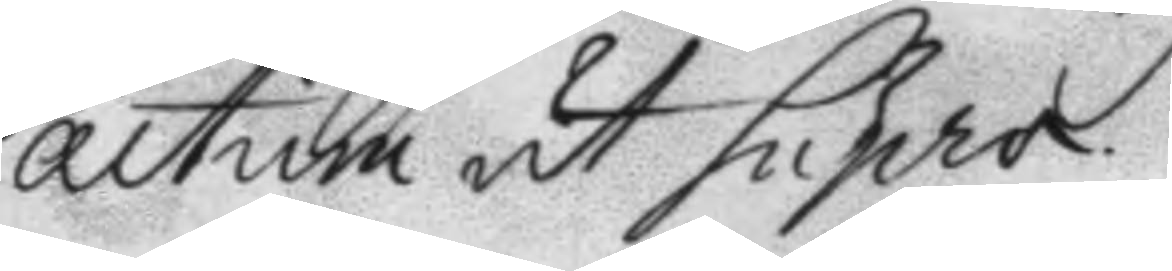actum ut Supra.
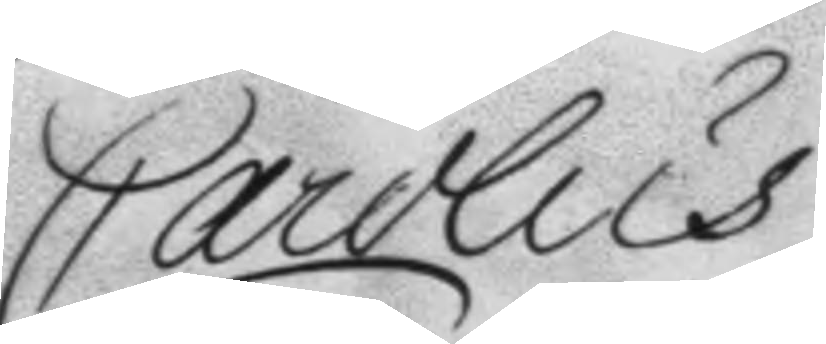Carolus
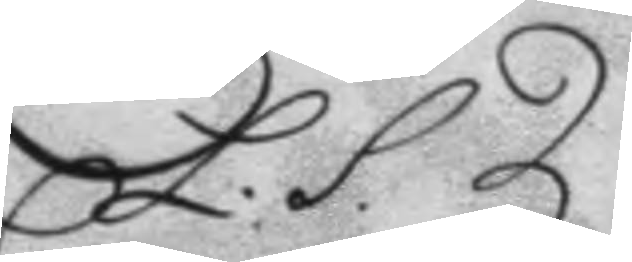L.S.
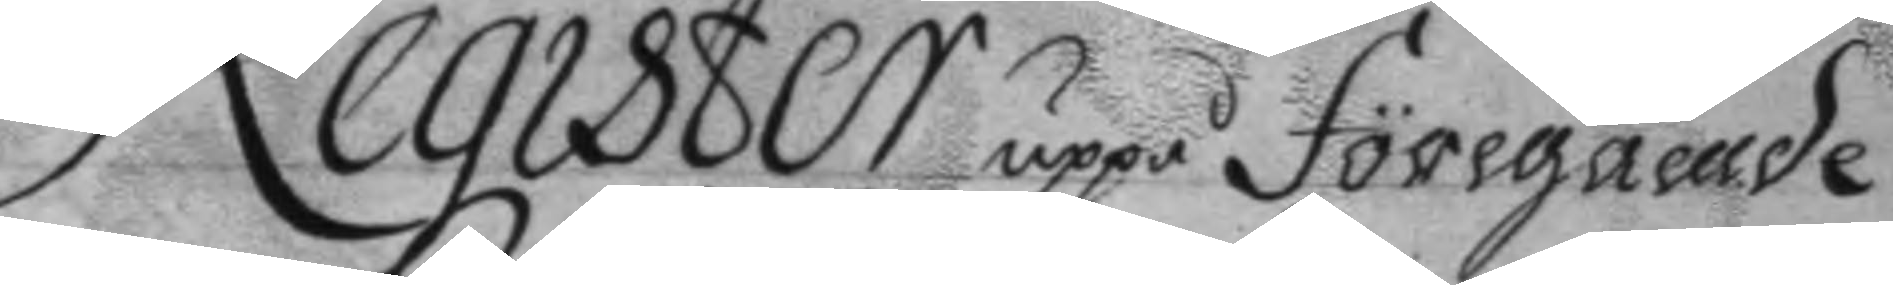Register uppå föregående
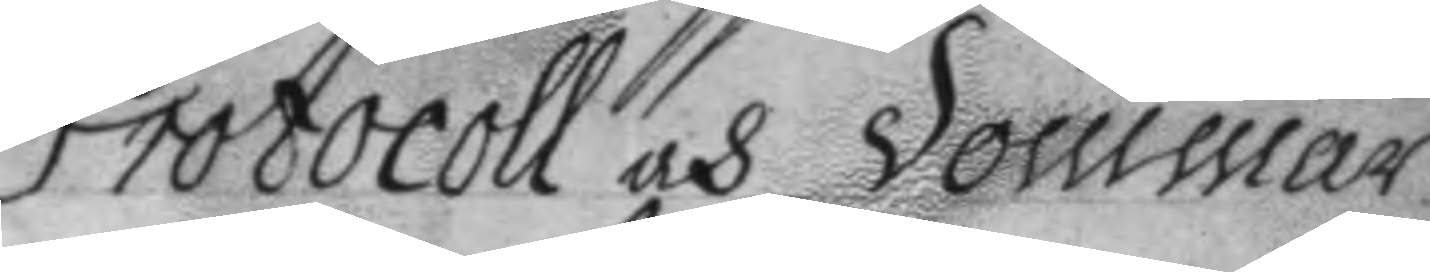Protocoll och dommar.
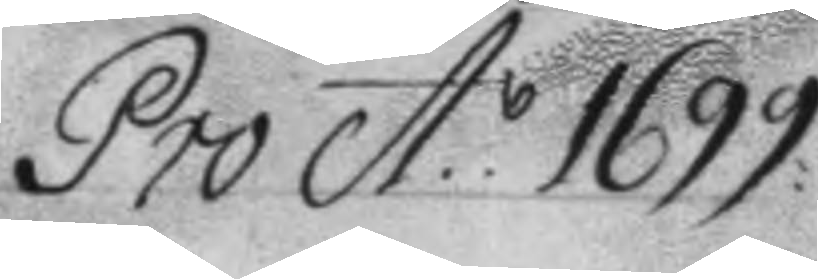Pro A: 1699
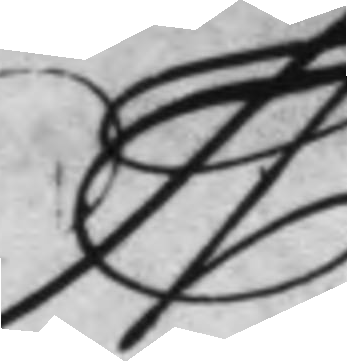A
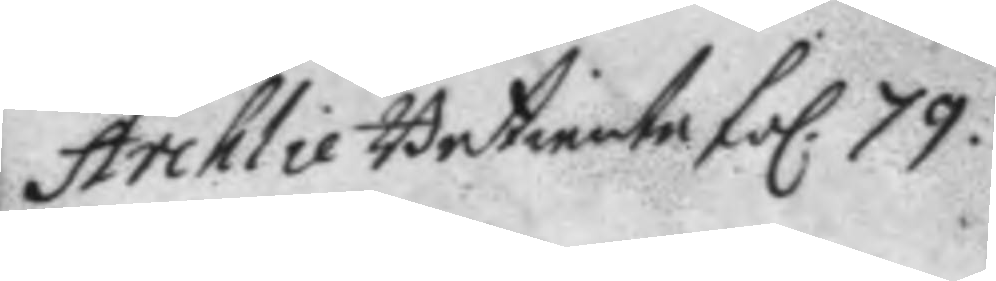Archlie Betiente fol. 79.
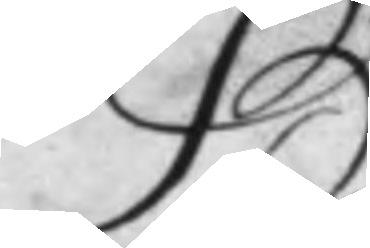B
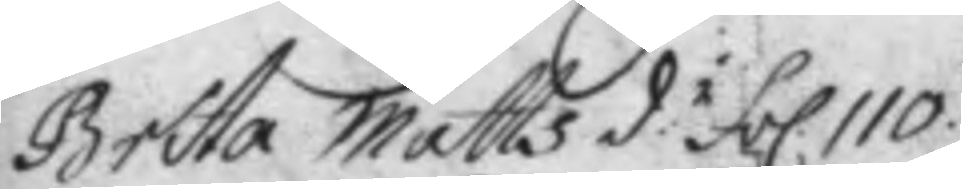Britta Matts d:r fol. 110.
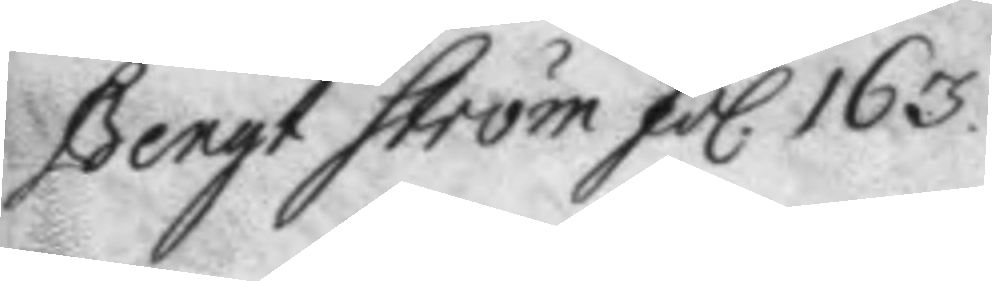Bengt Ström fol. 163.
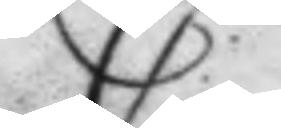C
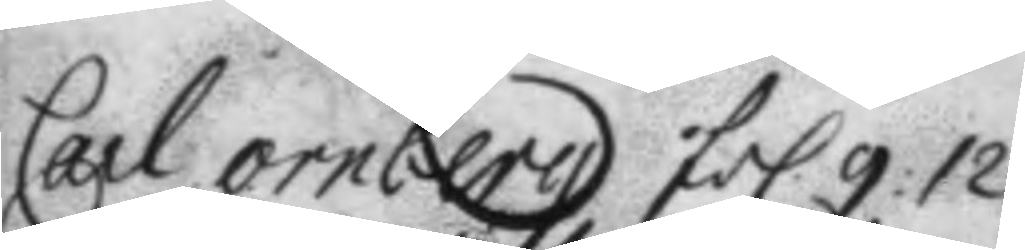Carl ornberg fol. 9: 12.
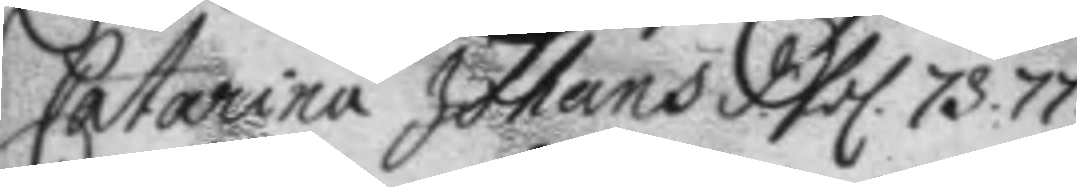Catharina Johans d. fol. 73. 77.
